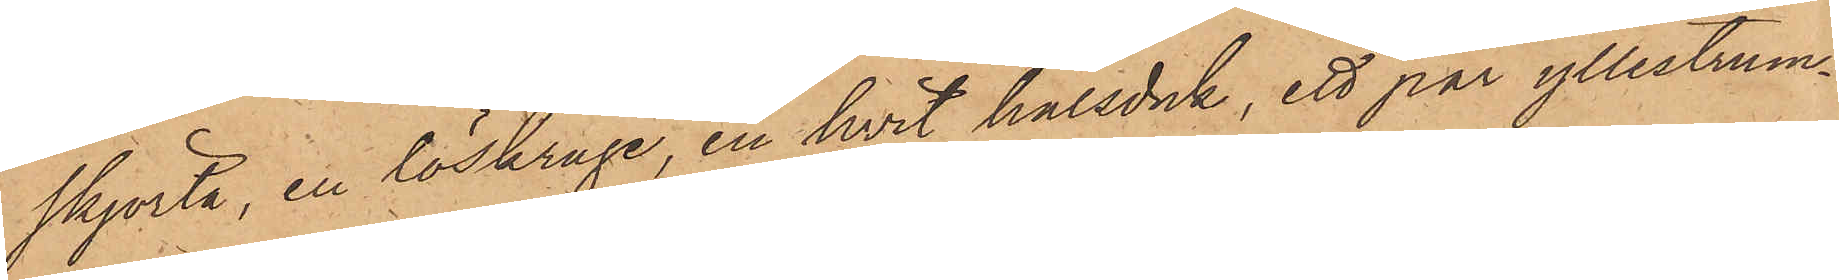skjorta, en löskrage, en hvit halsduk, ett par yllestrum¬
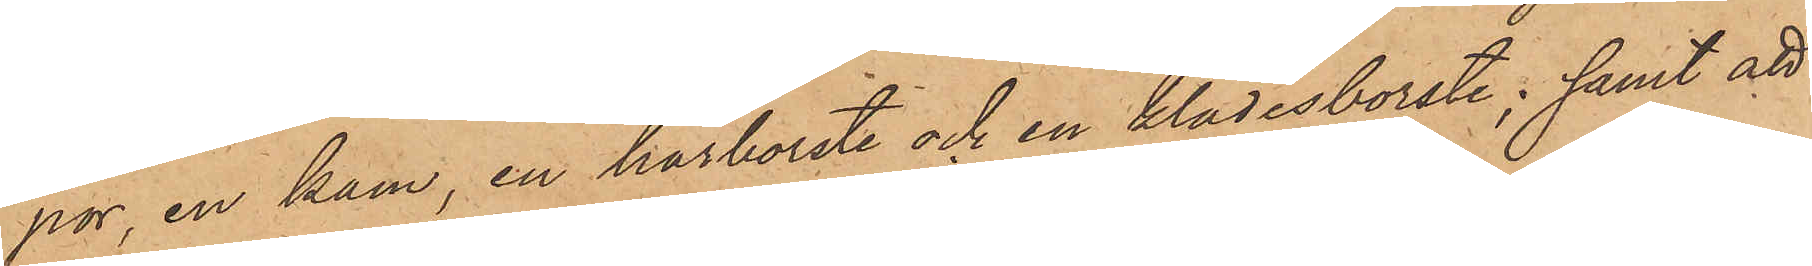por, en kam, en hårborste och en klädesborste; samt att
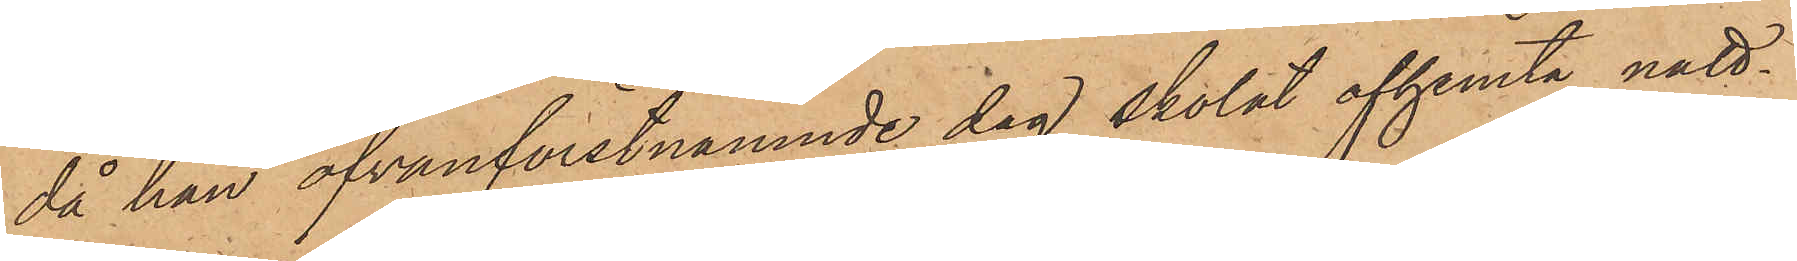då han ofvanförstnämnde dag skolat afhemta natt¬
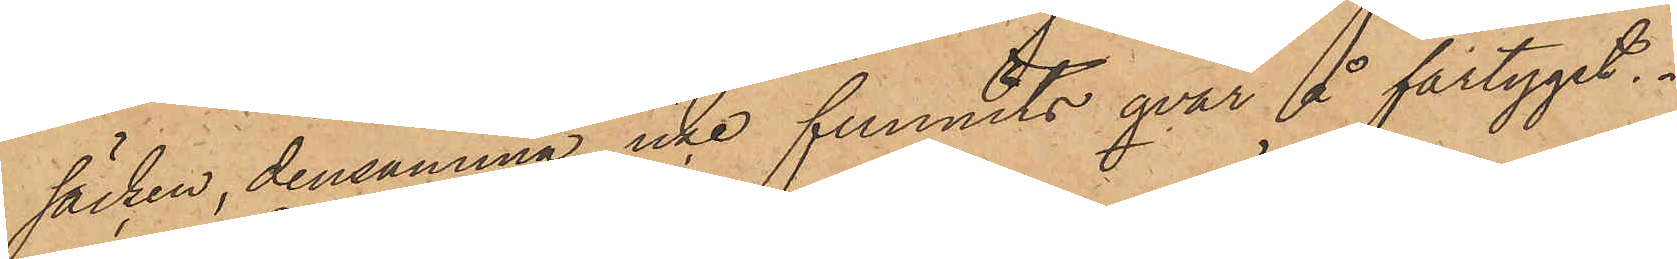säcken, densamma icke funnits qvar å fartyget.
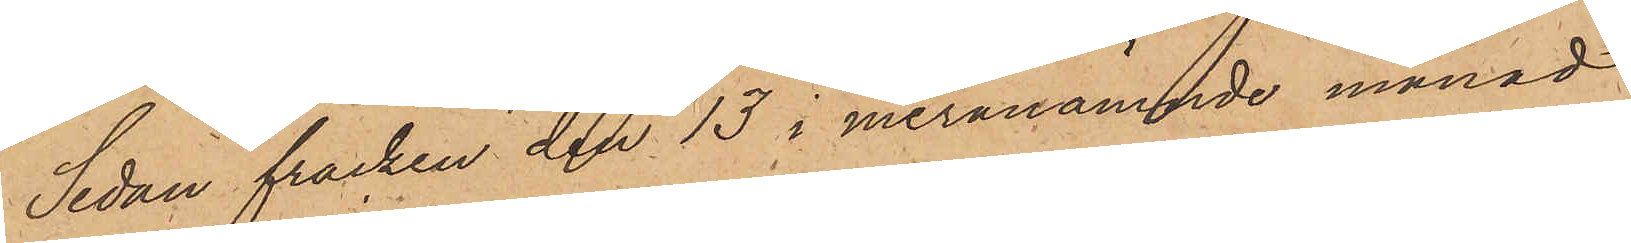Sedan fracken den 13 i meranämnde månad
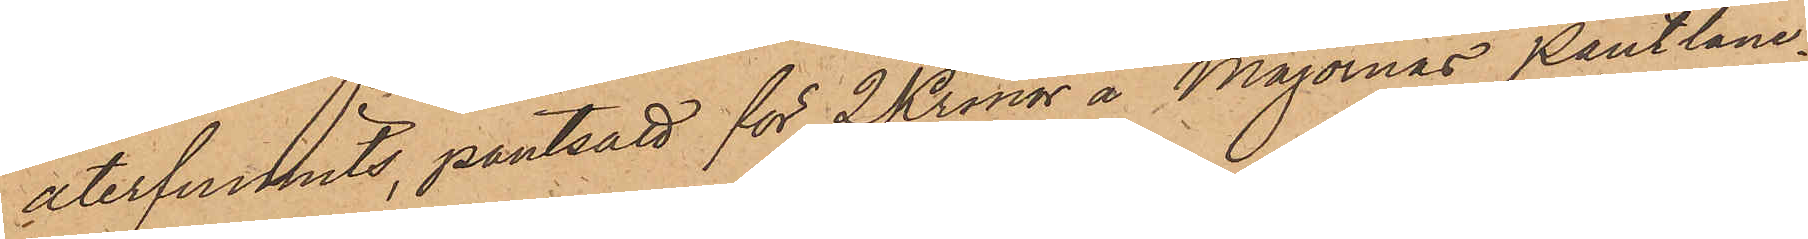återfunnits pantsatt för 2 Kronor å Majornas Pantlåne¬
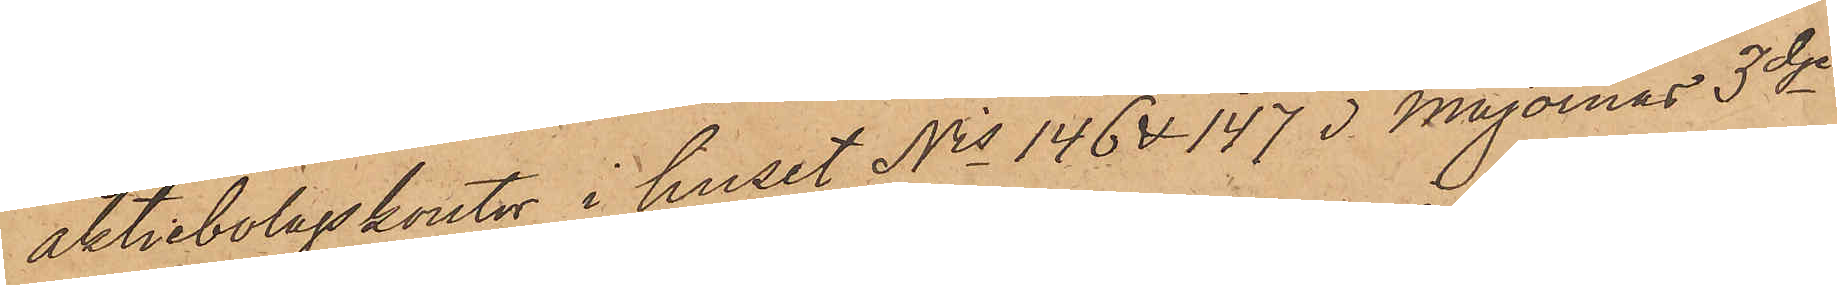aktiebolagskontor i huset Nris 146 &147 i Majornas 3dje
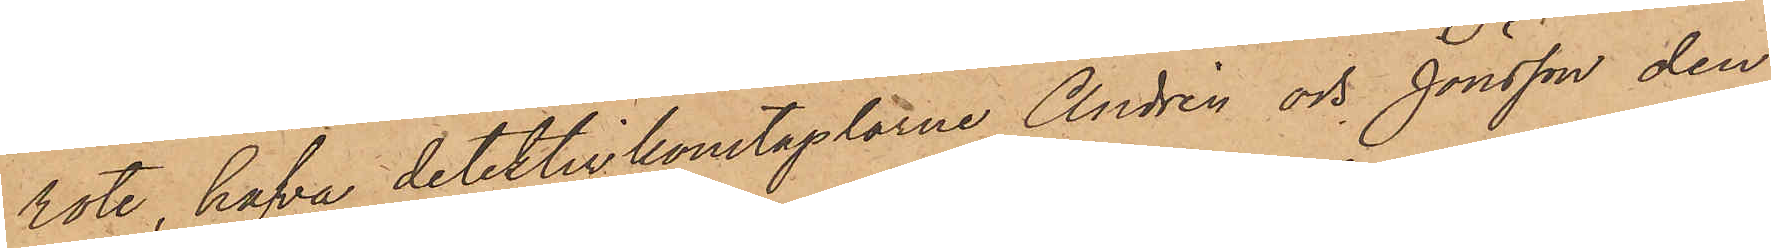rote, hafva detektivkonstaplarne Andrén och Jönsson den
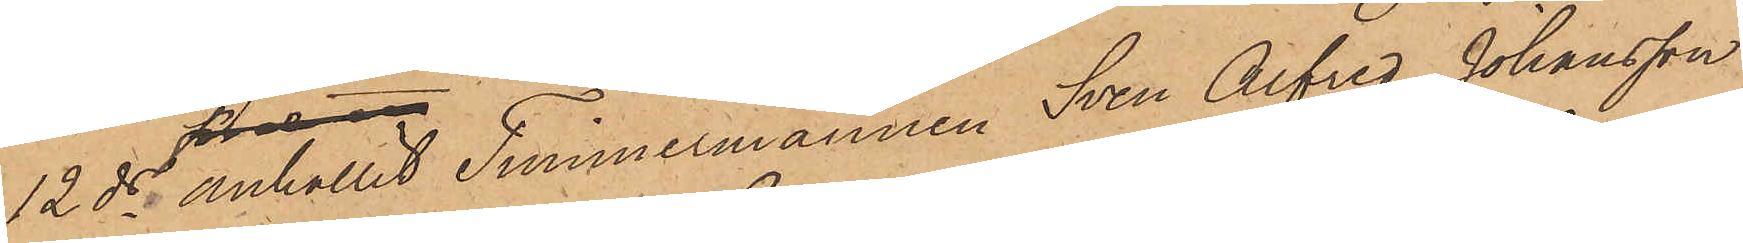12 ds anhållit Timmermannen Sven Alfred Johansson
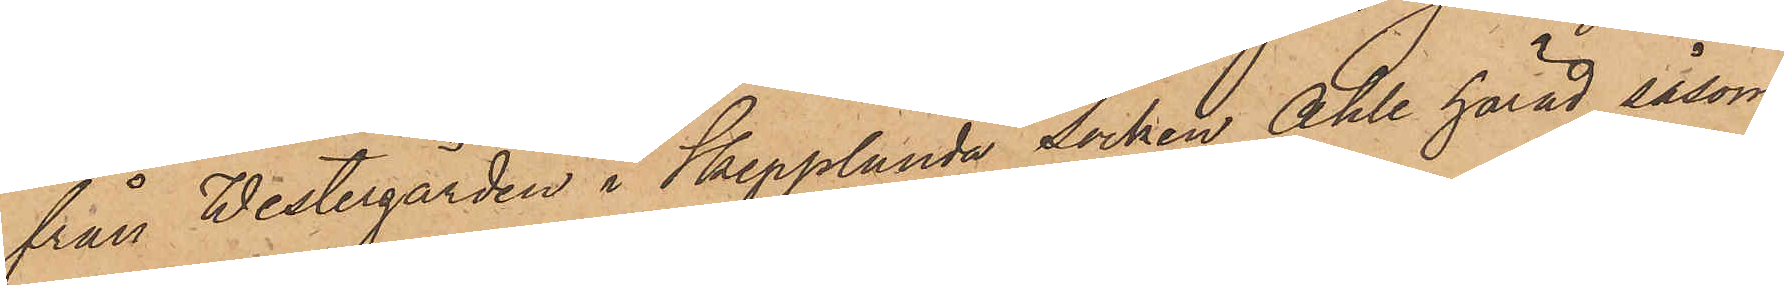från Westergården i Skepplanda socken Ahle härad såsom
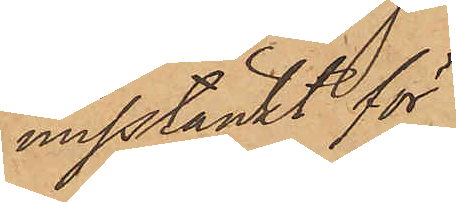misstänkt för
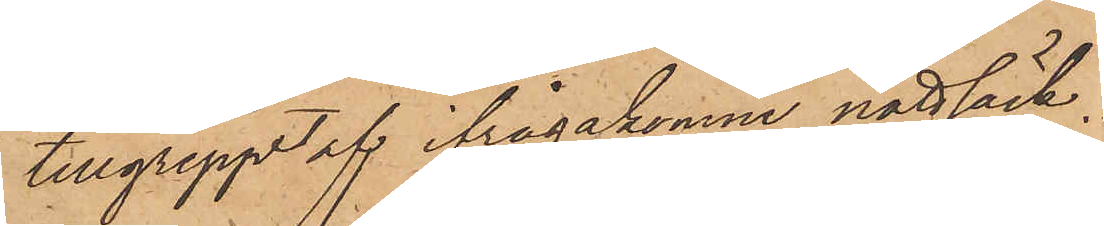tillgreppet af ifrågakomne nattsäck,
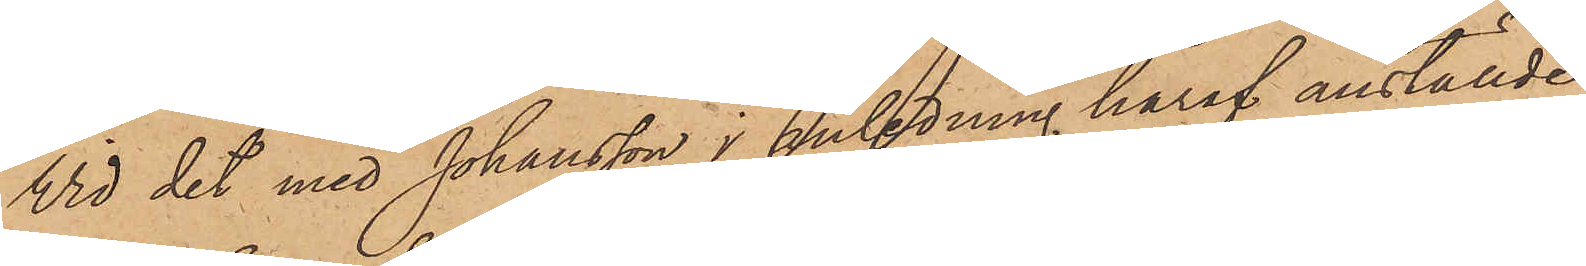Vid det med Johansson i anledning häraf anställde
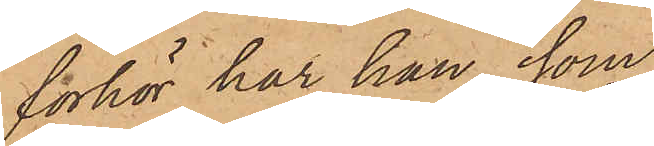förhör har han, som
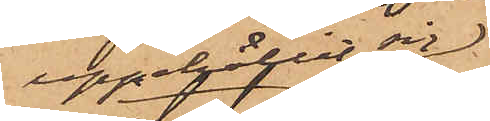uppehållit sig
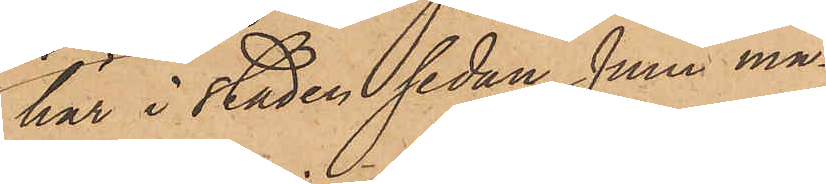här i staden sedan Juni må¬
